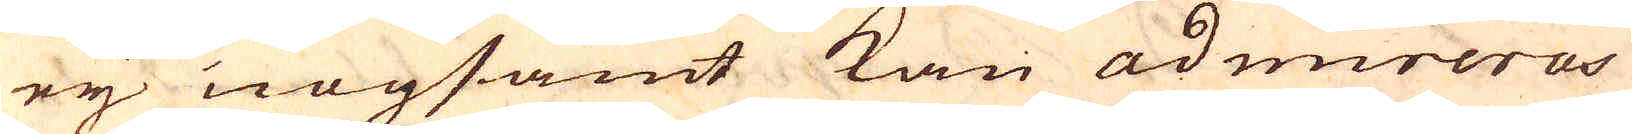ey nogsamt kan admireras
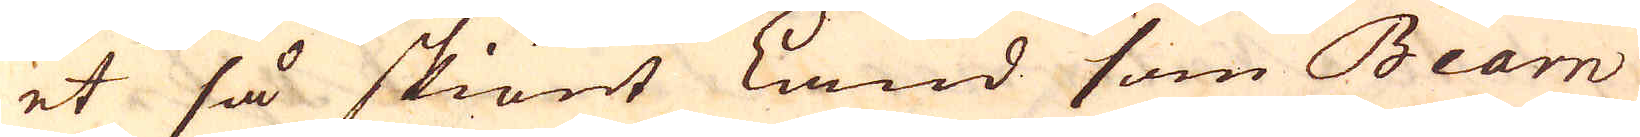et så skiönt Land som Bearn
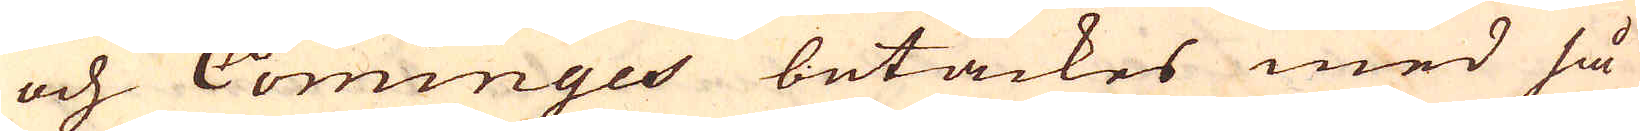och Cominges betäckes med så
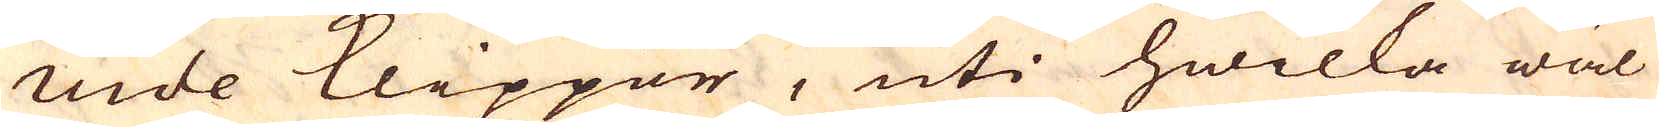nide klippor, uti hwilka wäl
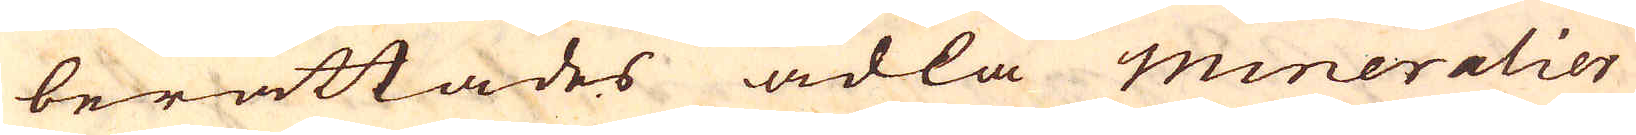berättades ädla mineralier
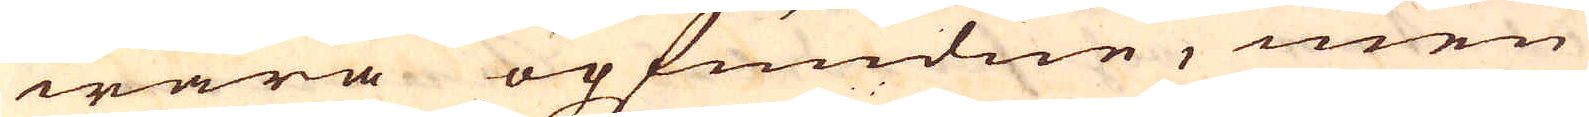wara opfundne, men
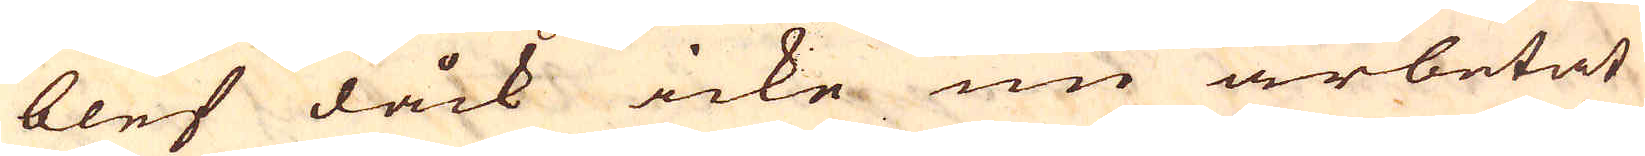blef dåck icke nu arbetat
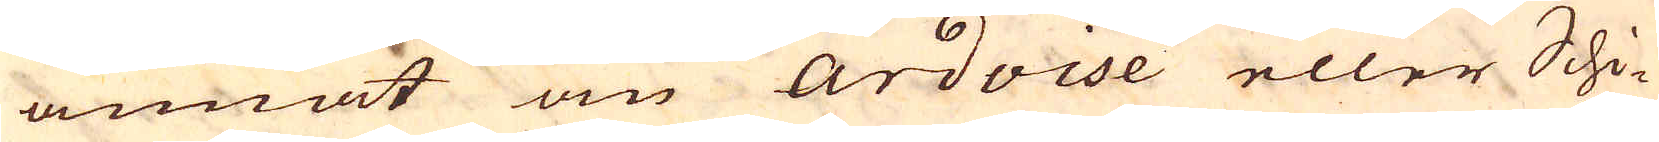annat än Ardoise eller Schi-
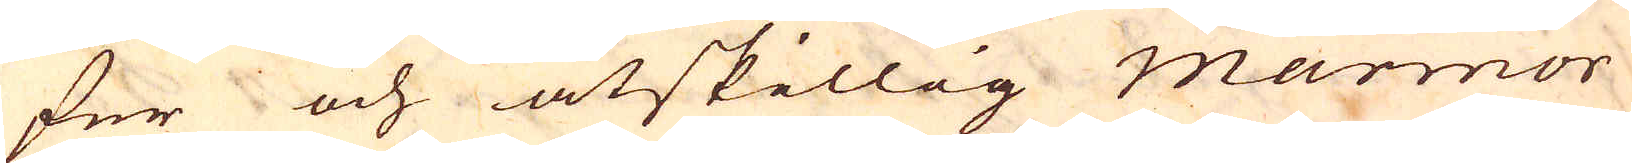fer och åtskillig Marmor
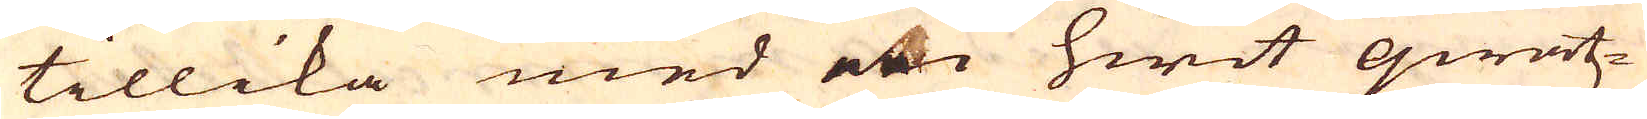tillika med en hwit qwatz-
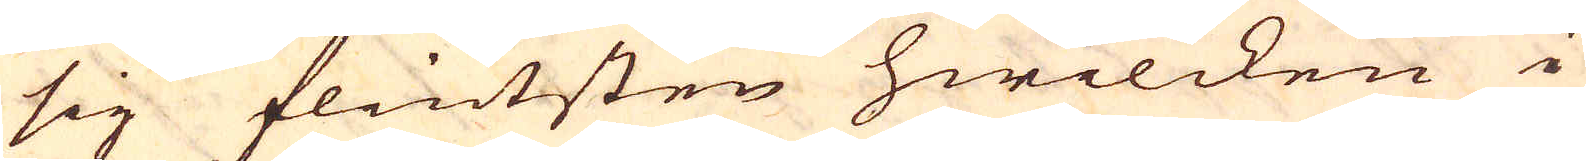sig flintsten hwilcken i
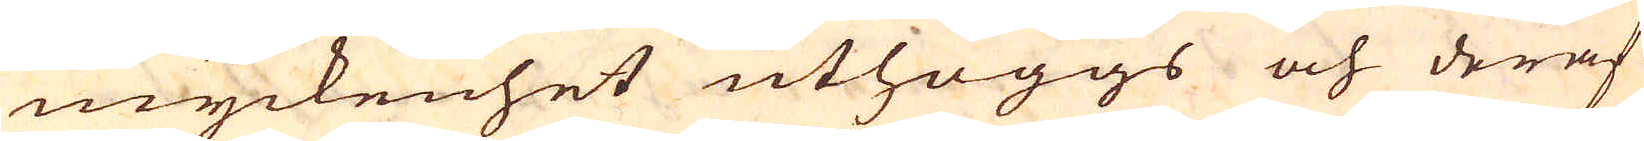myckenhet uthöggs och deraf
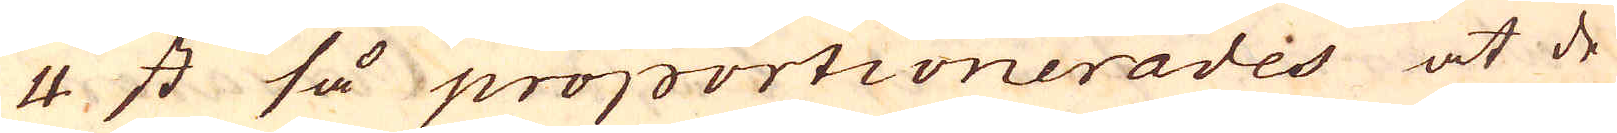4 st så proportionerades at de
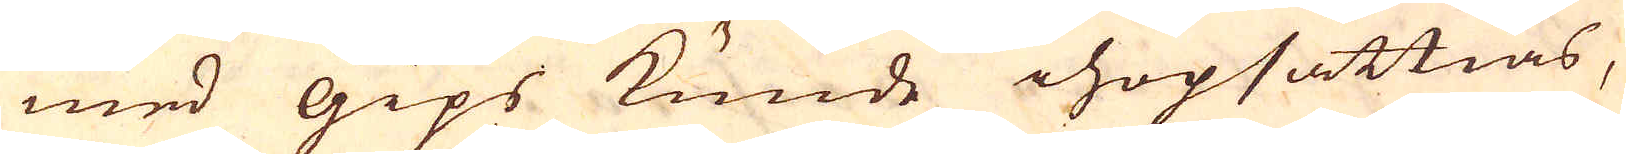med gips kunde ihopsättias,
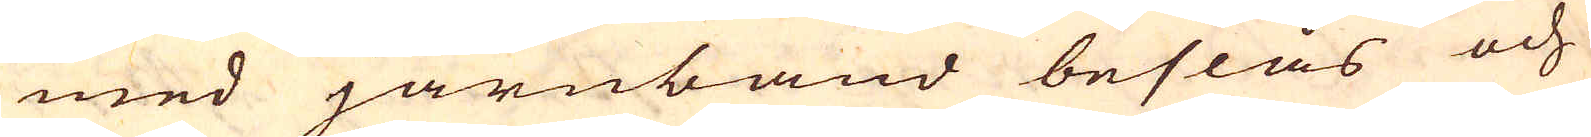med järnband beslås och
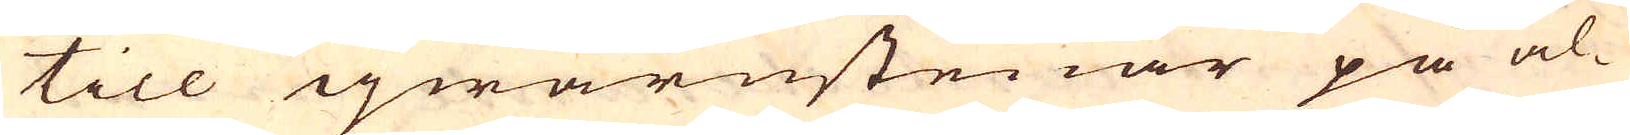till qwarnstenar på al-
